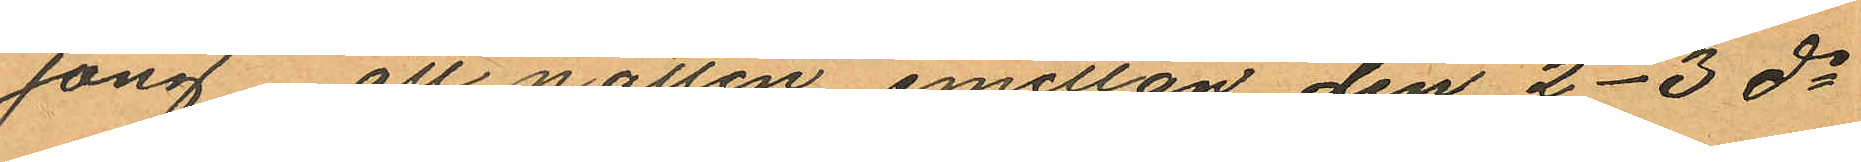jong, att natten emellan den 2-3 ds
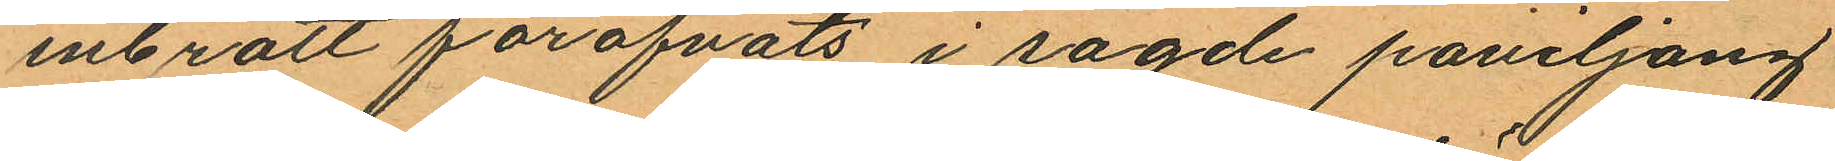inbrott föröfvats i sagde paviljong
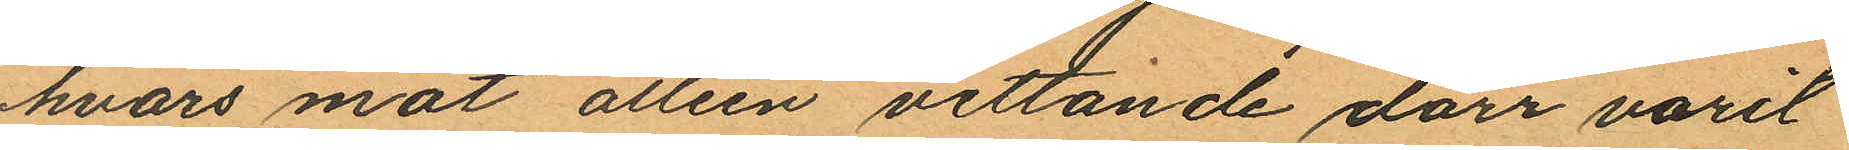hvars mot alleén vettande dörr varit
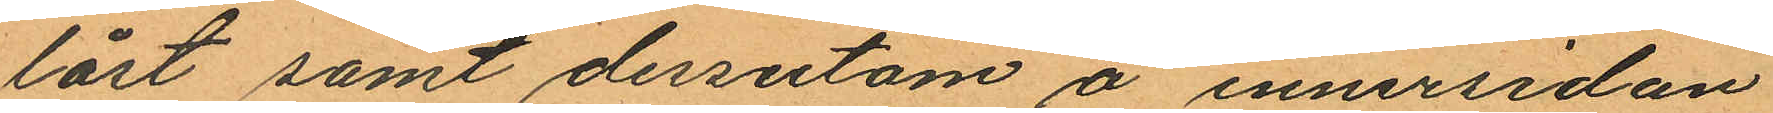låst samt dessutom å innersidan
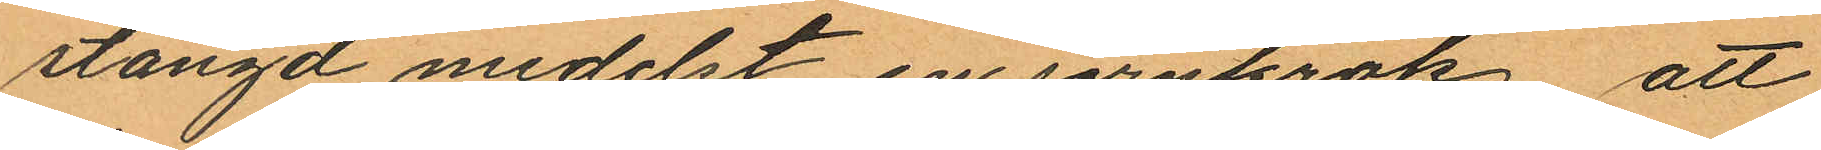stängd medelst en jernkrok, att
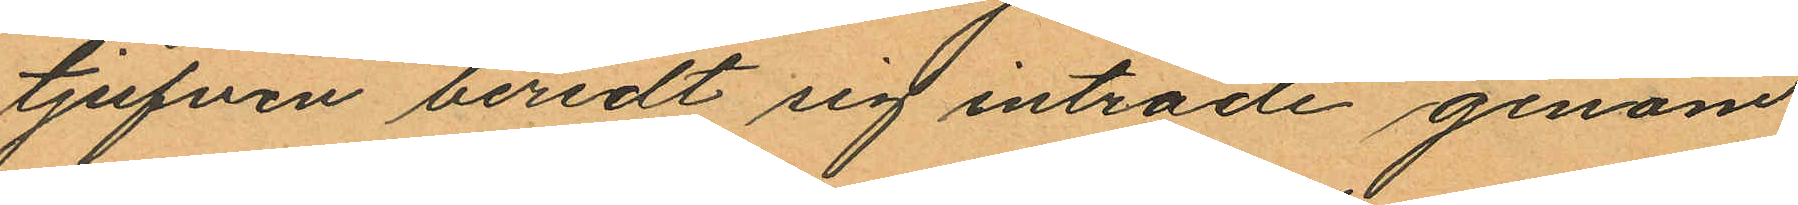tjufven beredt sig inträde genom
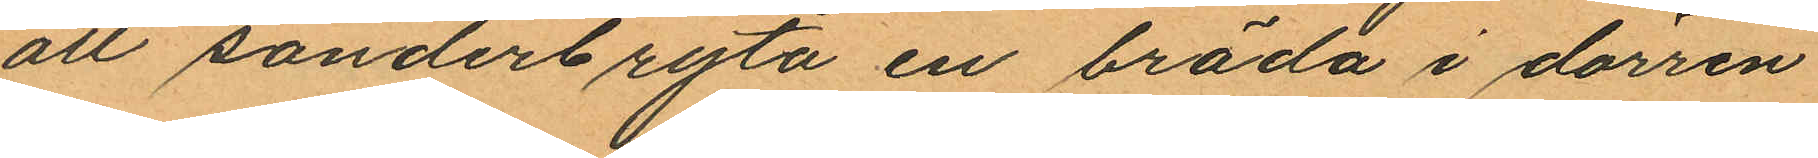att sönderbryta en bräda i dörren
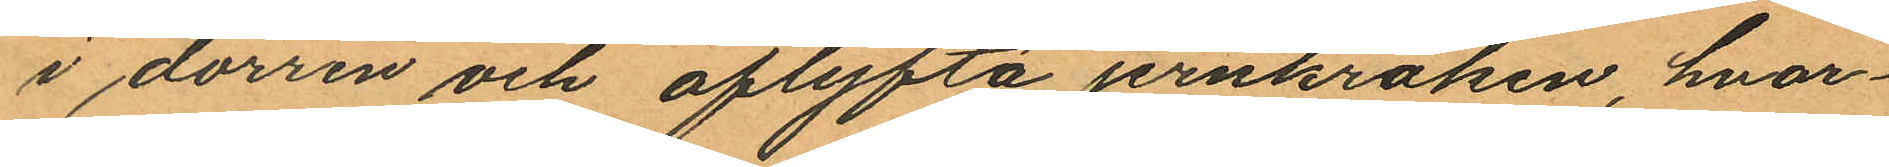i dörren och aflyfta järnkroken, hvar¬
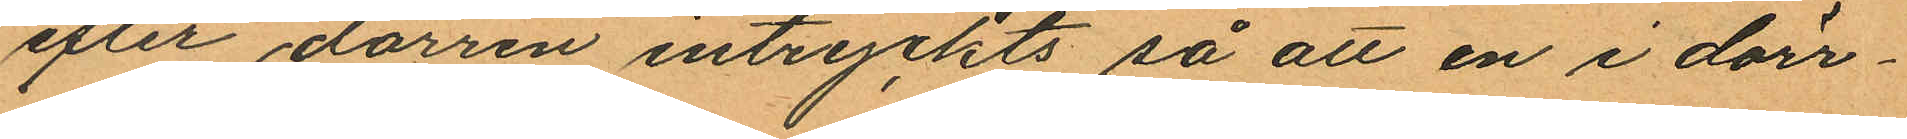efter dörren intryckts så att en i dörr¬
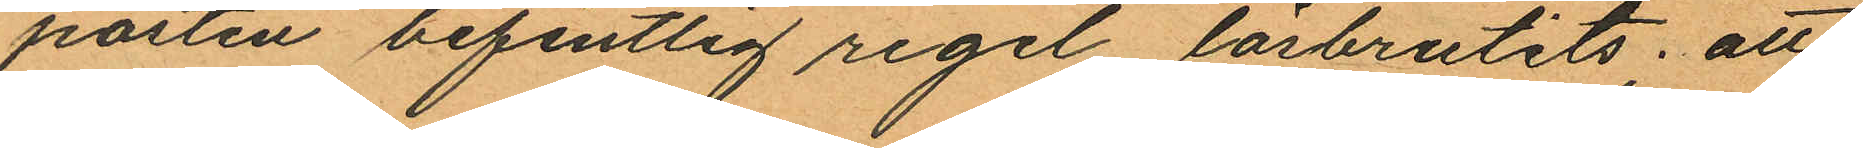posten befintlig regel lösbrutits; att
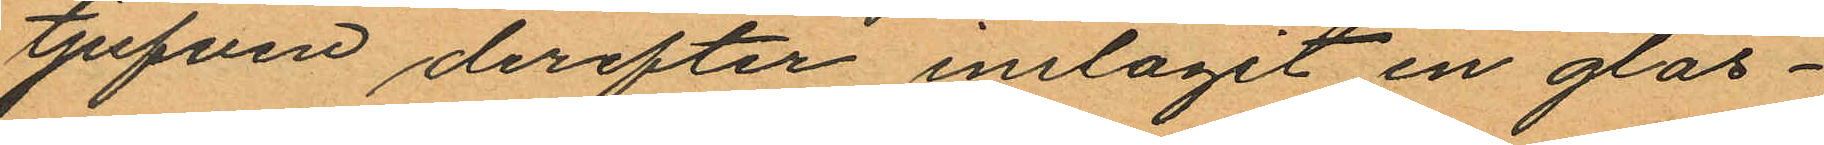tjufven derefter inslagit en glas¬
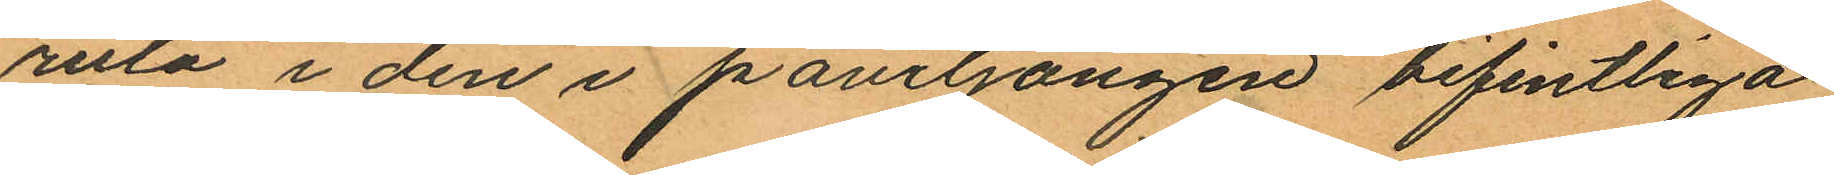ruta i den i paviljongen befintliga
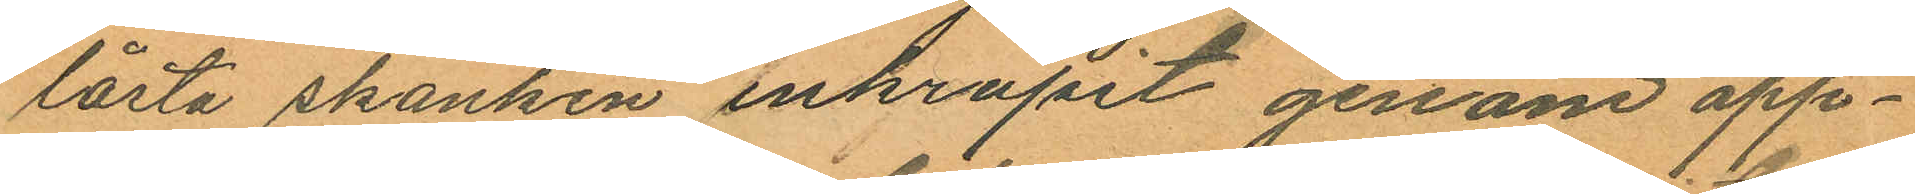låsta skänken inkrupit genom öpp¬
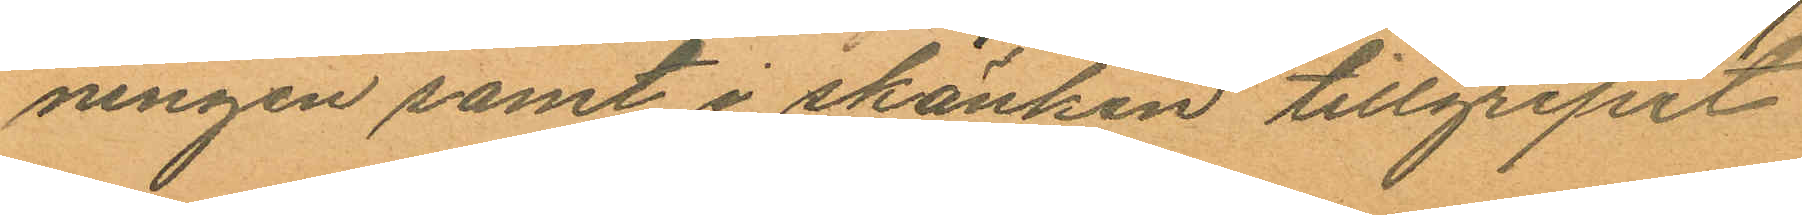ningen samt i skänken tillgripit
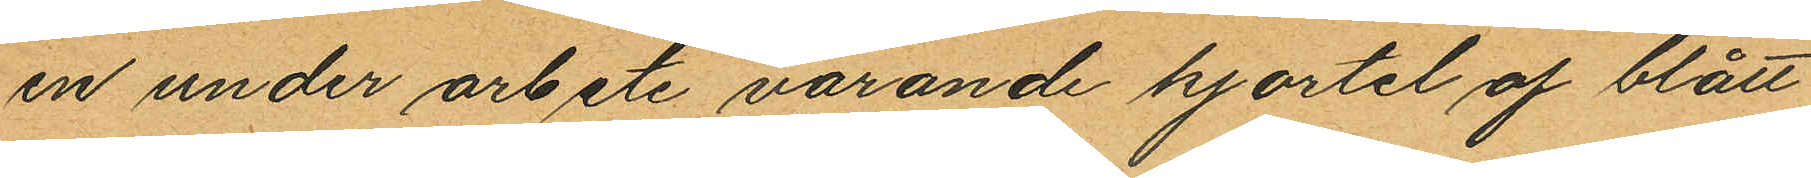en under arbete varande kjortel af blått
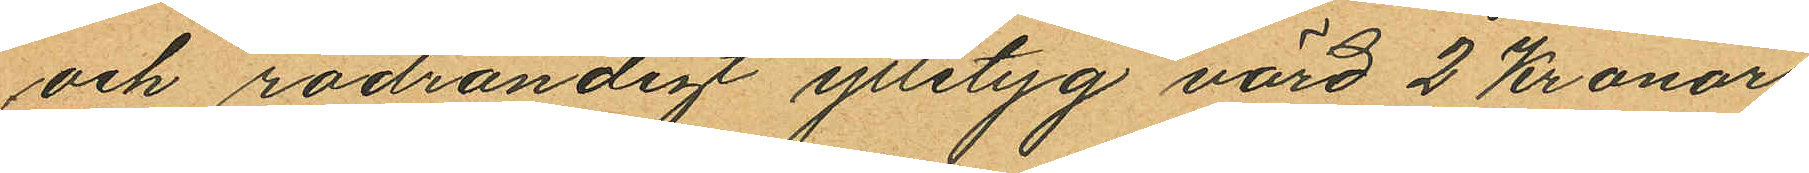och rödrandigt ylletyg värd 2 kronor
